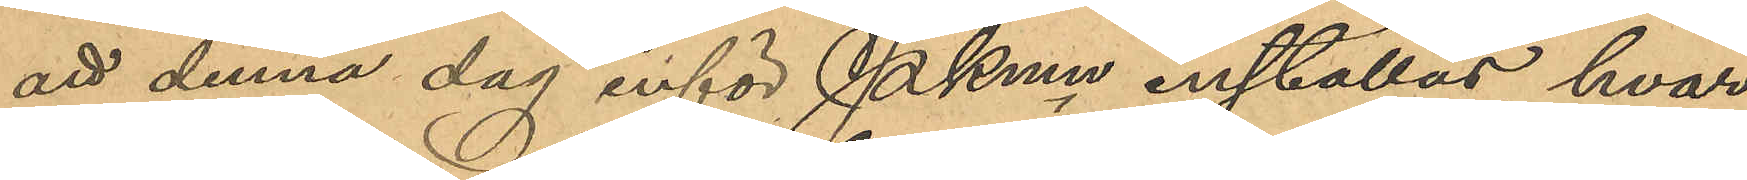att denna dag inför Pkmn inställas hvar¬
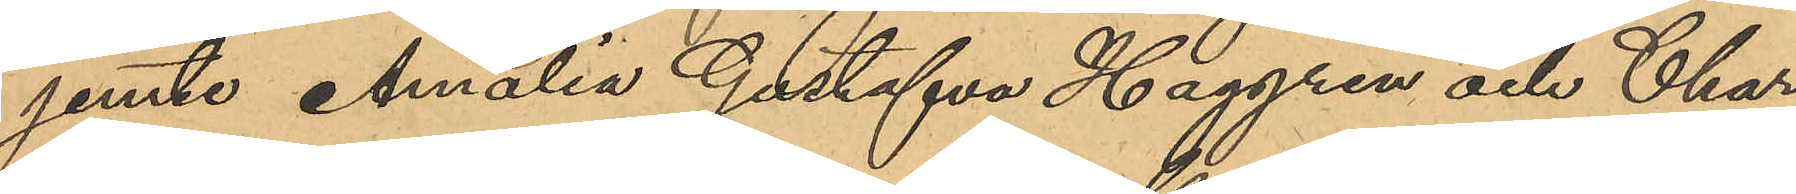jemte Amalia Gustafva Haggren och Char¬
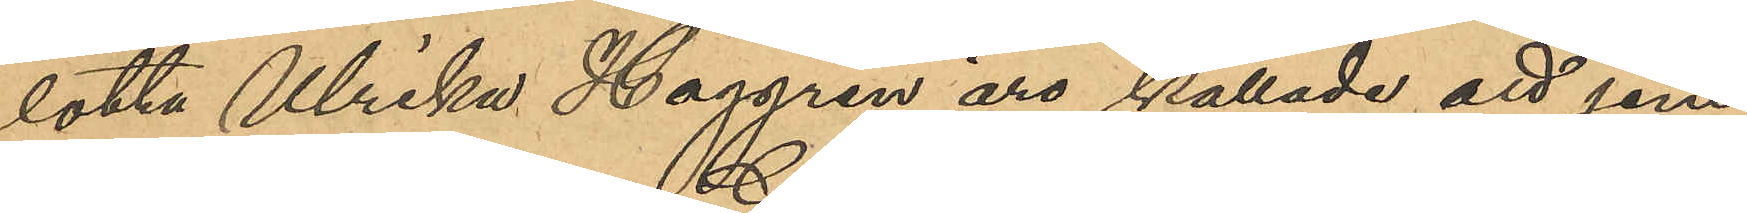lotta Ulrika Haggren äro kallade att jem¬
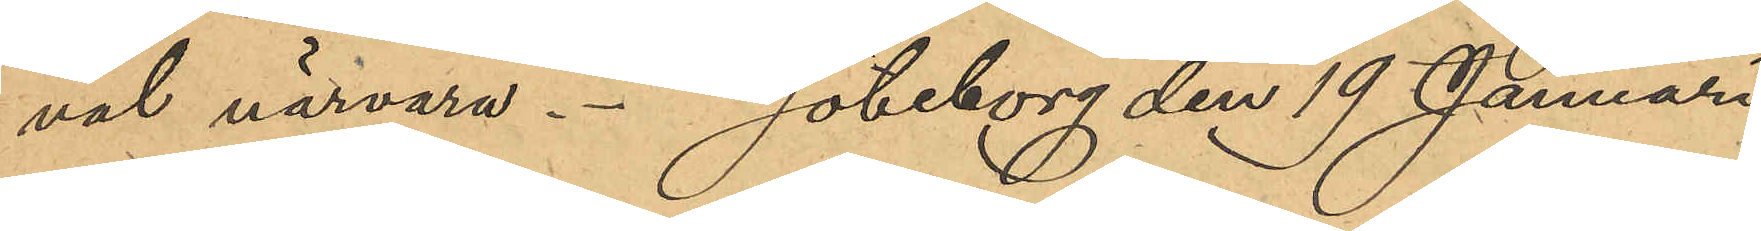väl närvara. Göteborg den 19 Januari
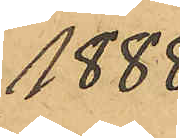1888
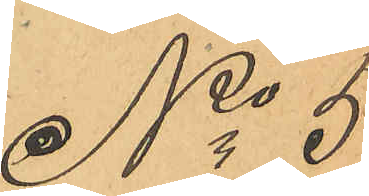No 5
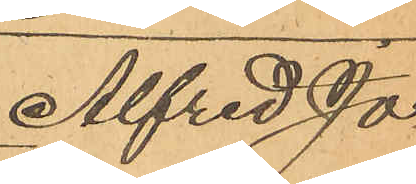Alfred Jo¬
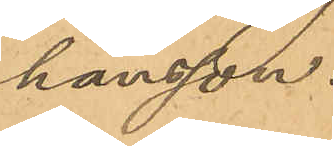hansson.
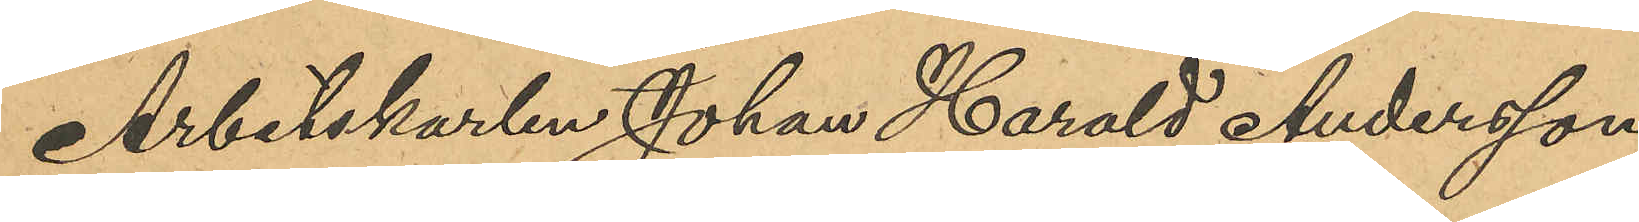Arbetskarlen Johan Harald Andersson,
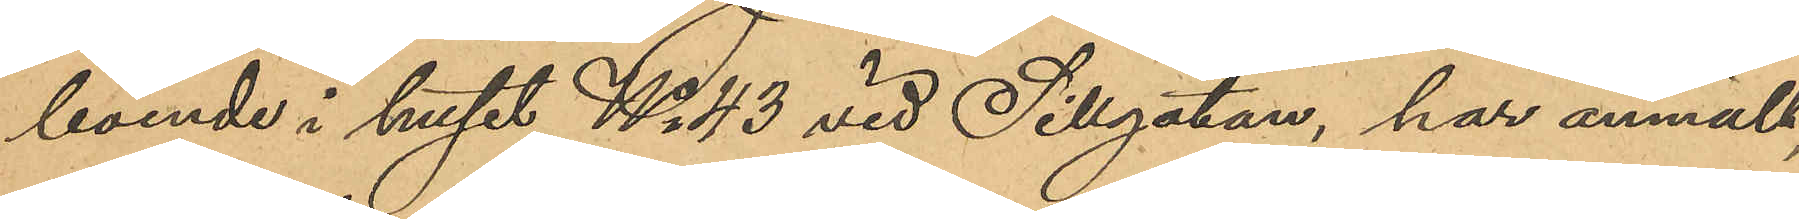boende i huset No 43 vid Sillgtan, har anmält
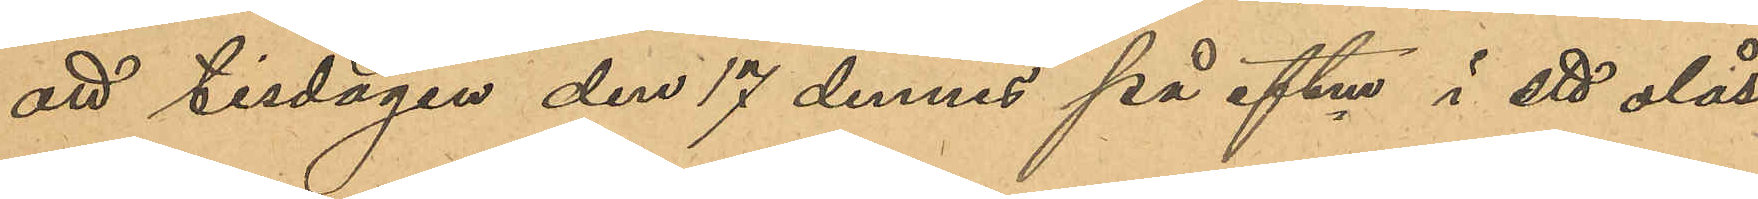att tisdagen den 17 dennes på eftm i ett olåst
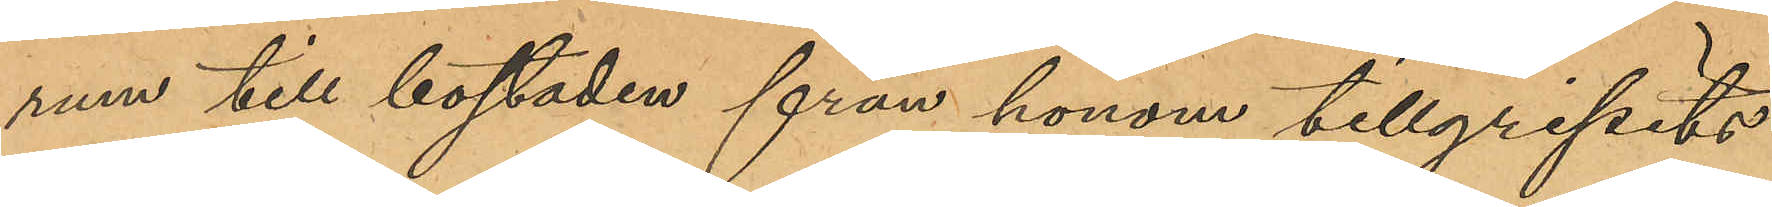rum till bostaden från honom tillgripits
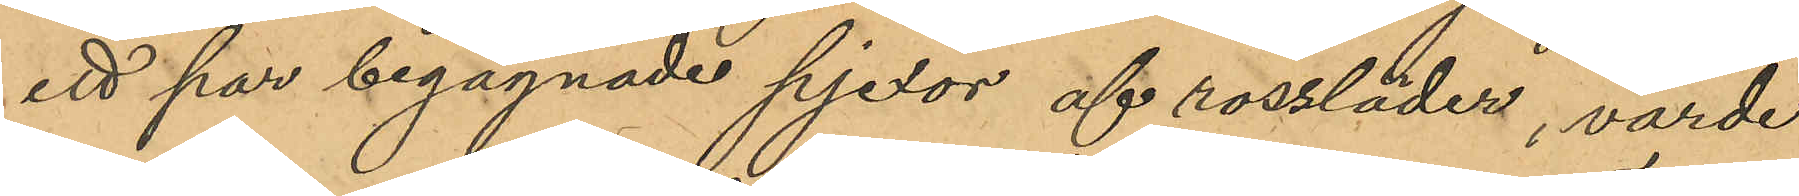ett par begagnade pjexor af rossläder, värde
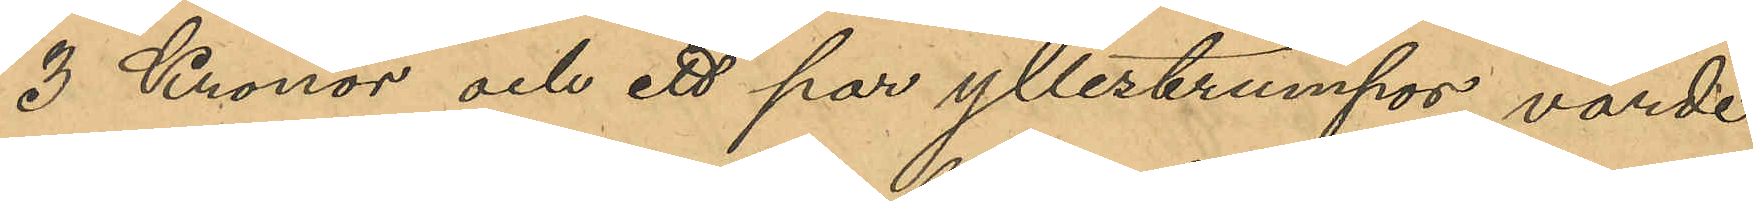3 kronor och ett par yllestrumpor, värde
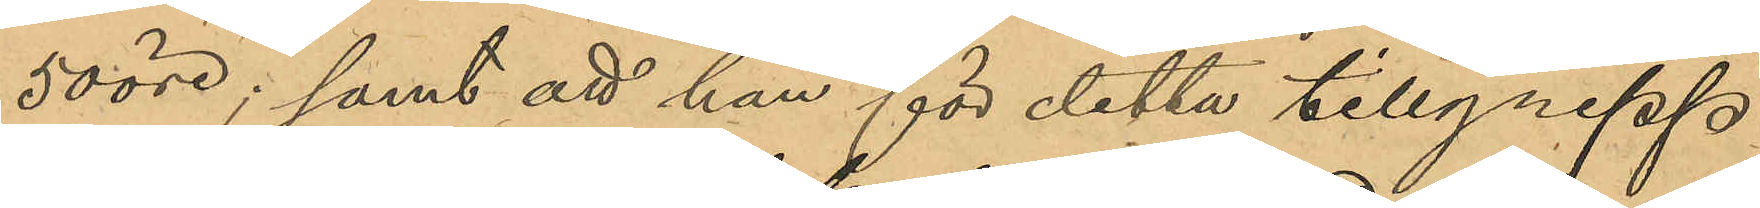50 öre, samt att han för detta tillgrepp
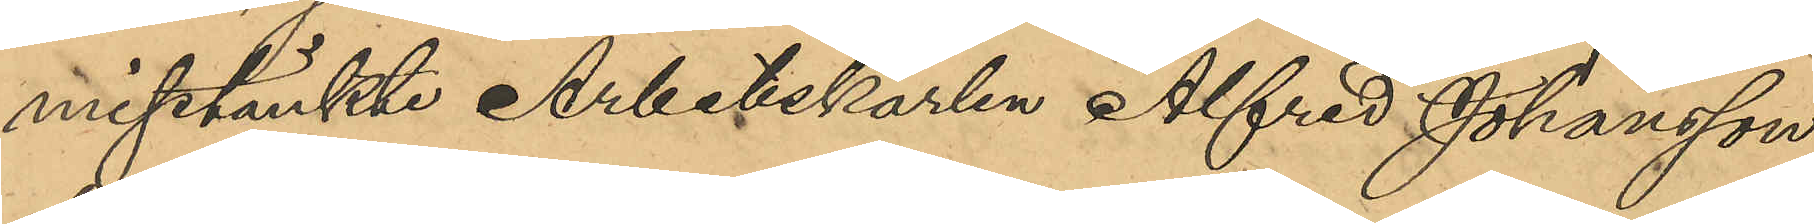misstänkte Arbetskarlen Alfred Johansson,
